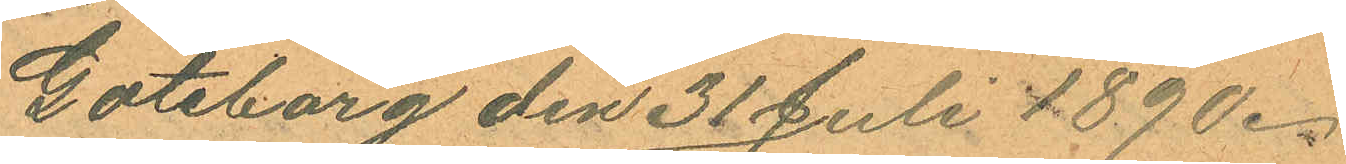Göteborg den 31 Juli 1890.
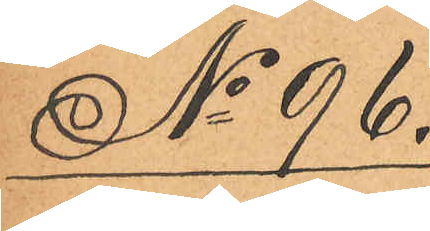No 96.
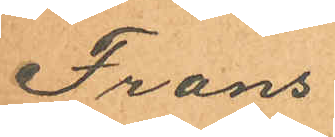Frans
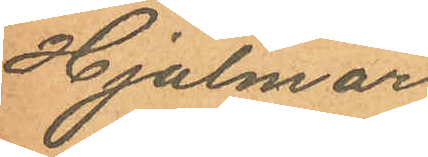Hjalmar
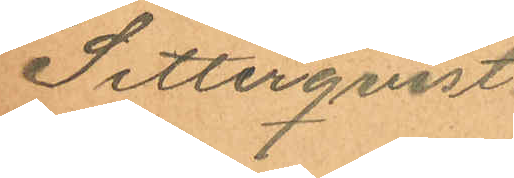Setterqvist.
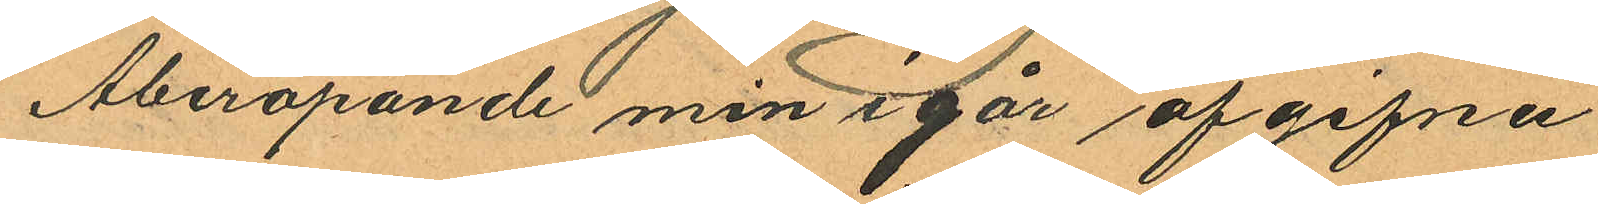Åberopande min igår afgifna
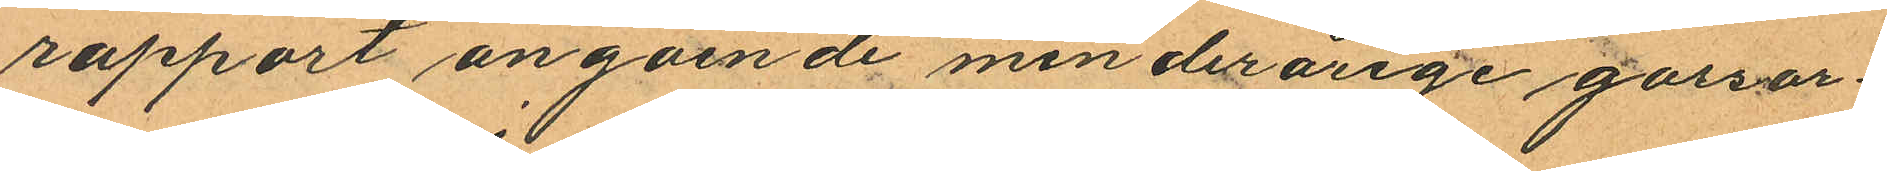rapport angående minderårige gossar
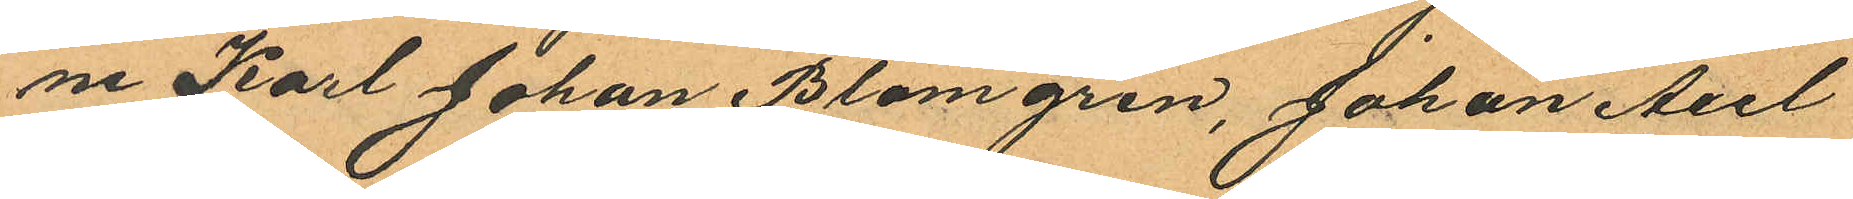ne Karl Johan Blomgren, Johan Axel
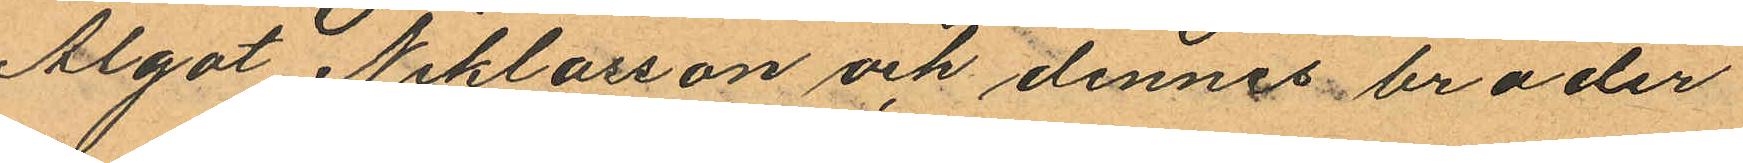Algot Niklasson och dennes broder
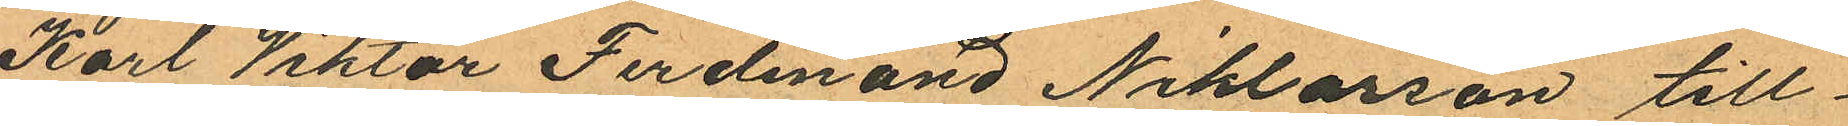Karl Viktor Ferdinand Niklasson till¬
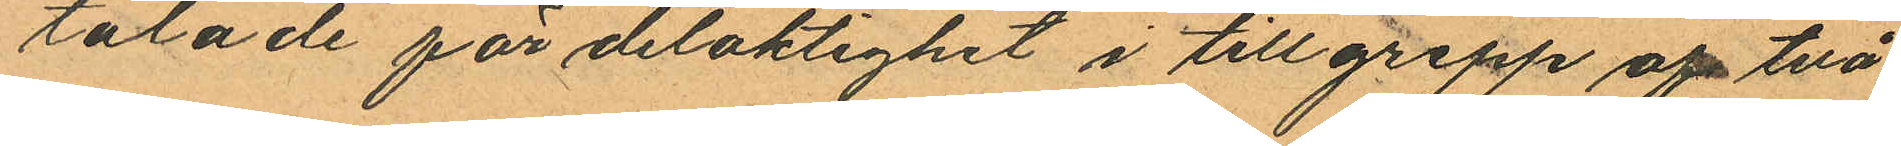talade för delaktighet i tillgrepp af två
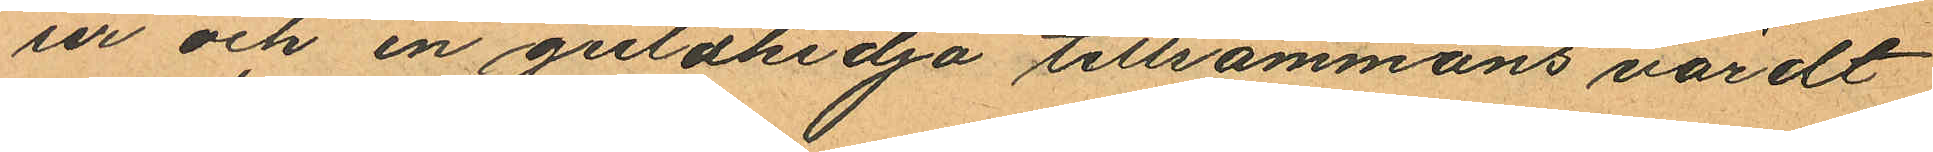ur och en guldkedja tillsammans värdt
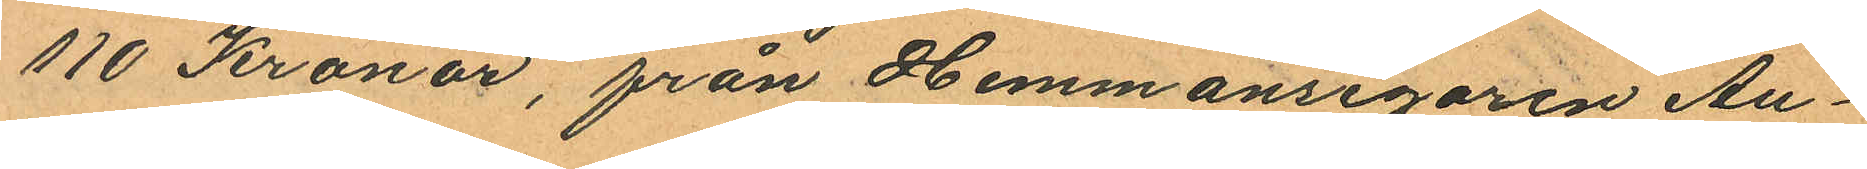110 Kronor, från Hemmansegaren Au¬
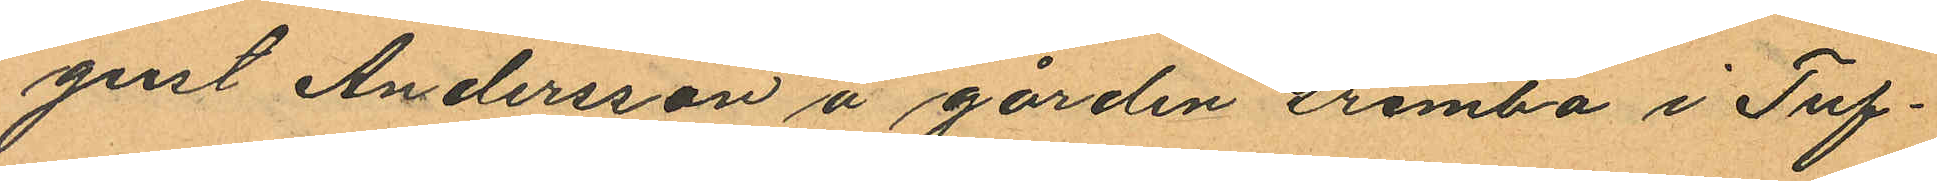gust Andersson å gården Grimbo i Tuf¬
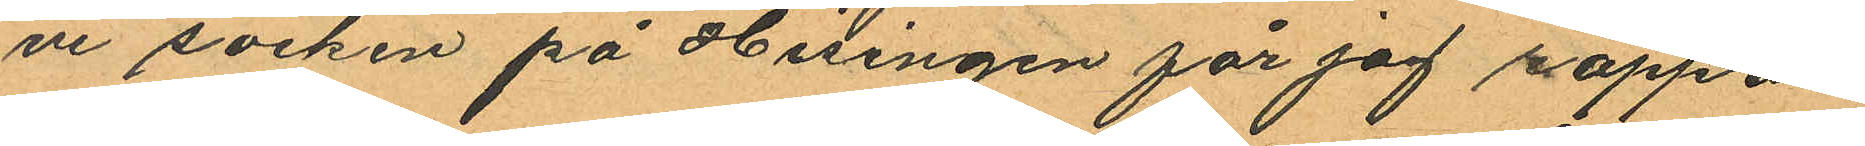ve socken på Hisingen får jag rappor
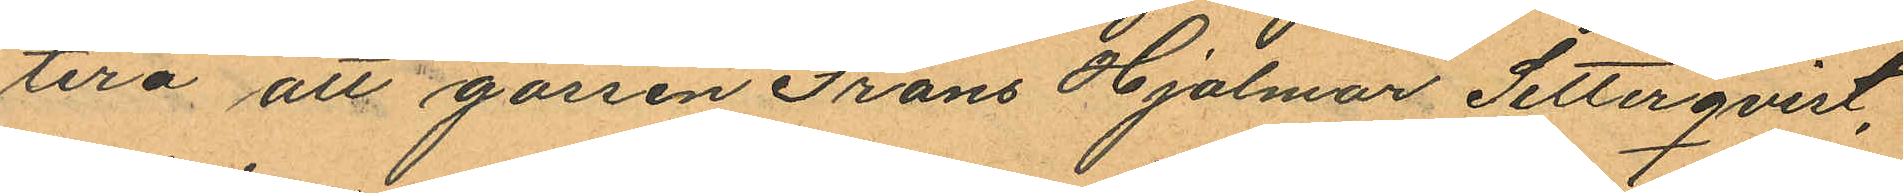tera att gossen Frans Hjalmar Setterqvist,
